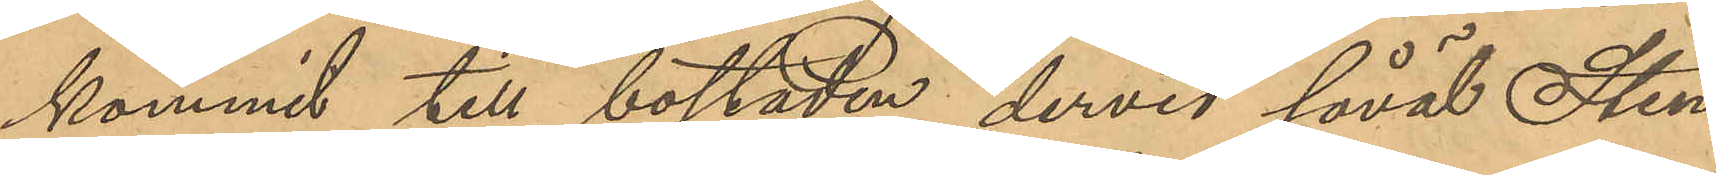kommit till bostaden, dervid såväl Sten¬
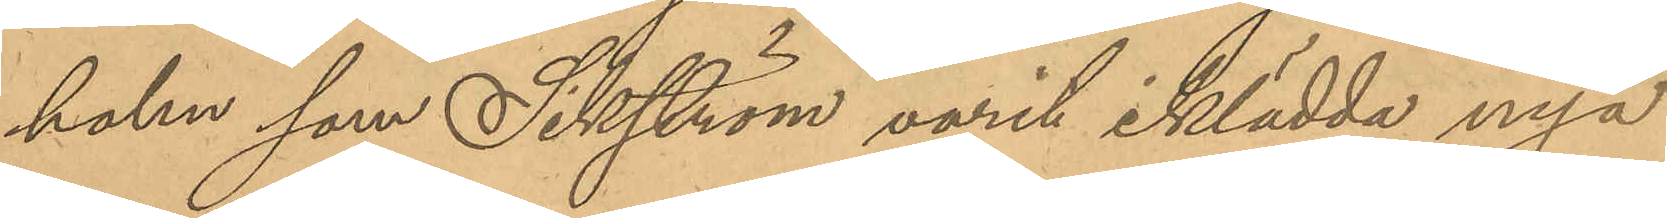holm som Sikström varit iklädda nya
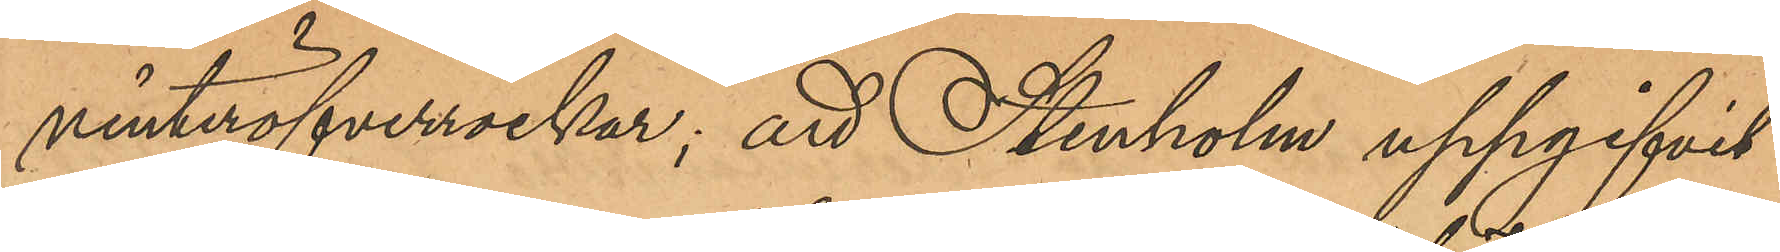vinteröfverrockar; att Stenholm uppgifvit
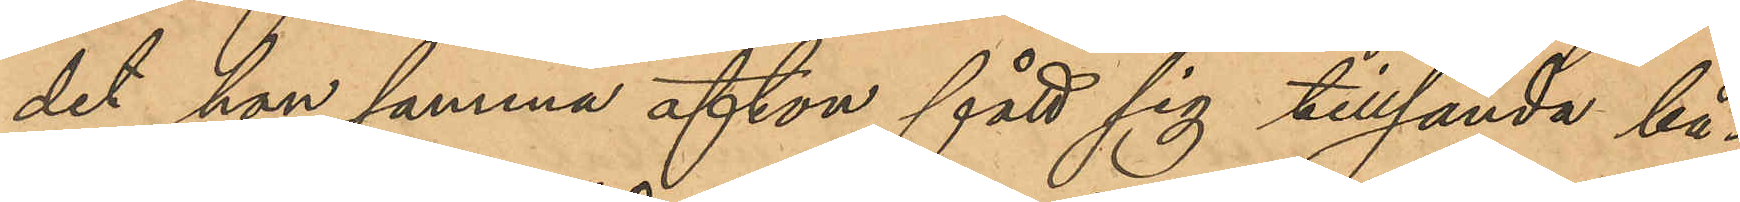det han samma afton fått sig tillsända bå¬
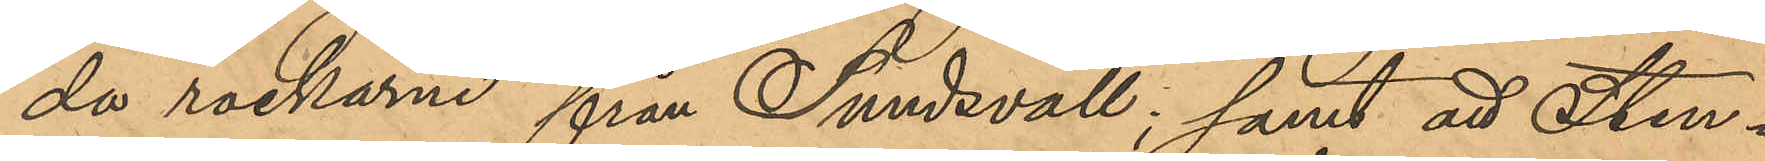da rockarne från Sundsvall; samt att Sten¬
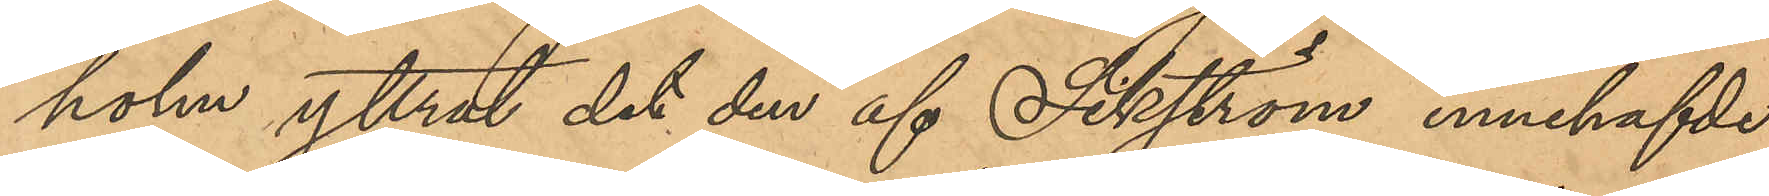holm yttrat det den af Sikström innehafde
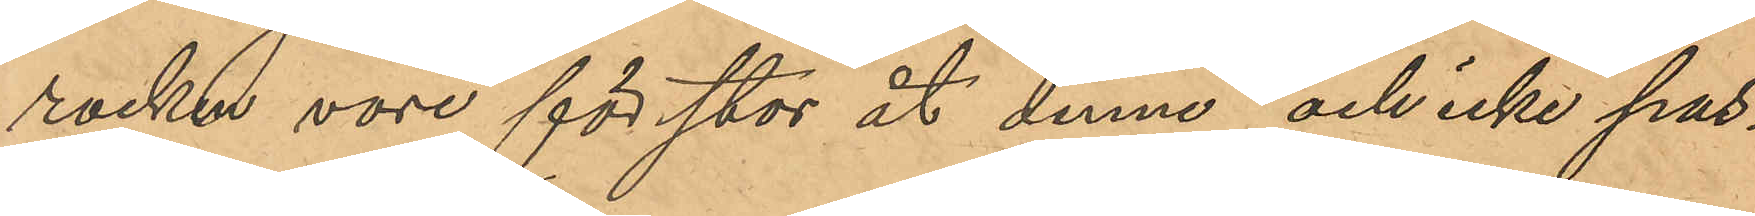rocken vore för stor åt denne och icke pas¬
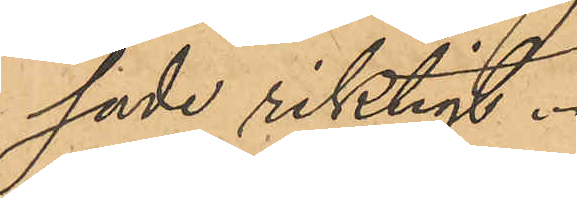sade riktigt.
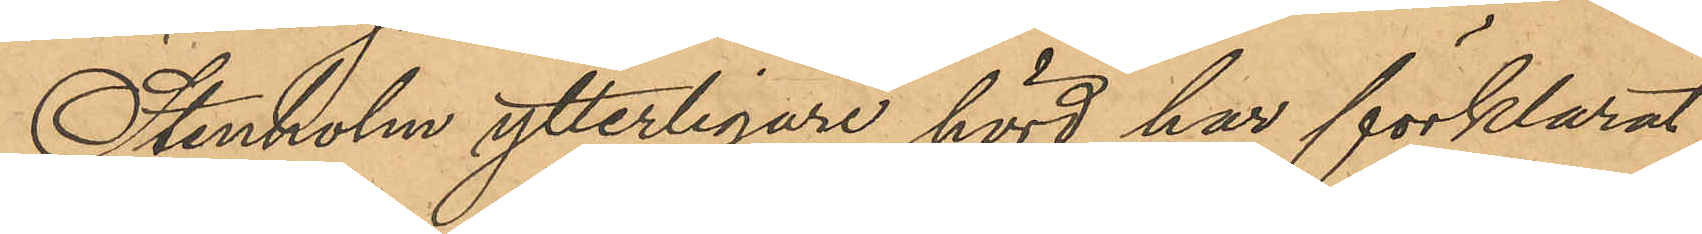Stenholm ytterligare hörd har förklarat,
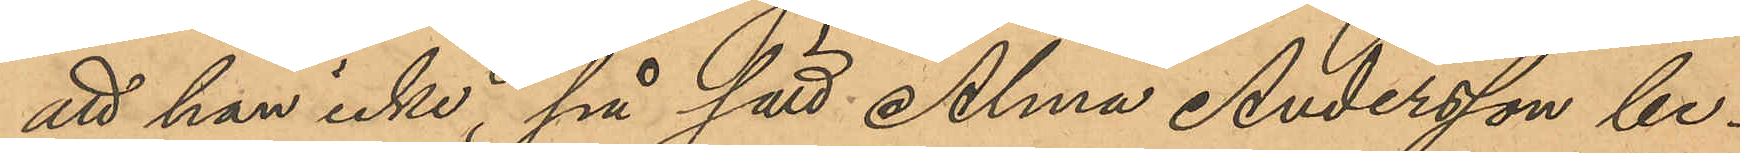att han icke, på sätt Alma Andersson be¬
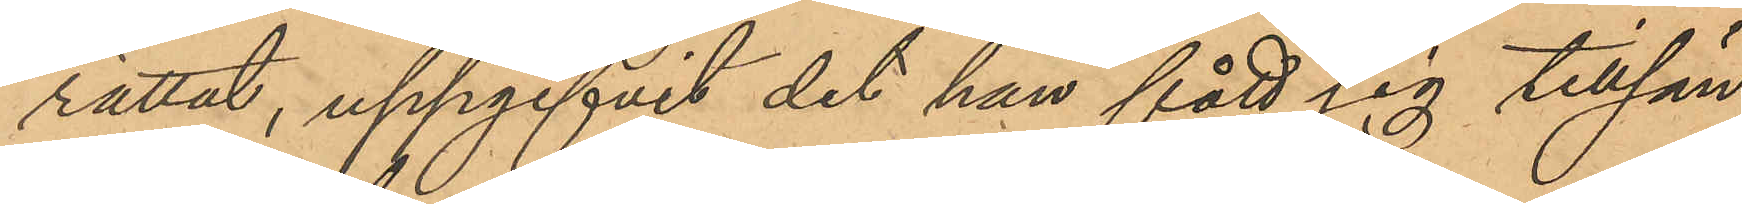rättat, uppgifvit det han fått sig tillsän¬
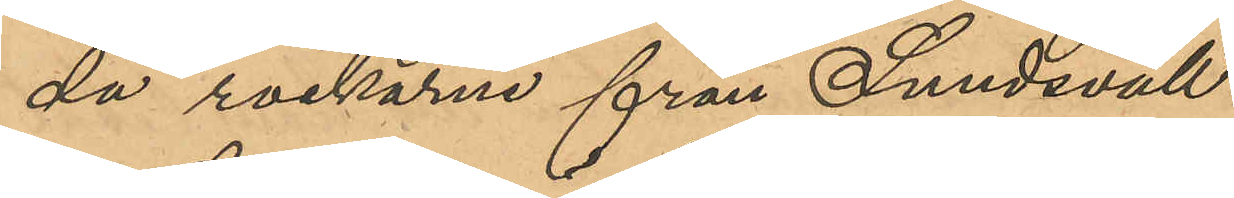da rockarne från Sundsvall.
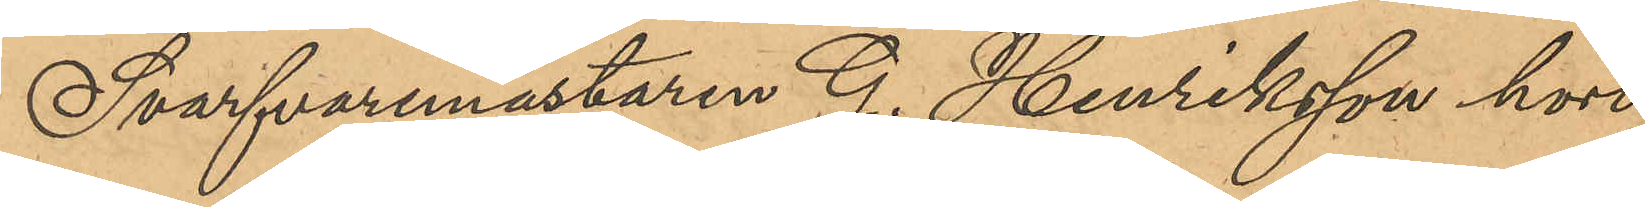Svarfvaremästaren G. Henriksson hörd
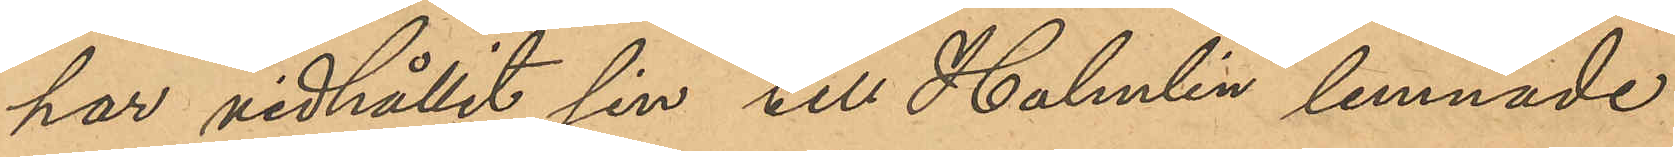har vidhållit sin till Holmlin lemnade
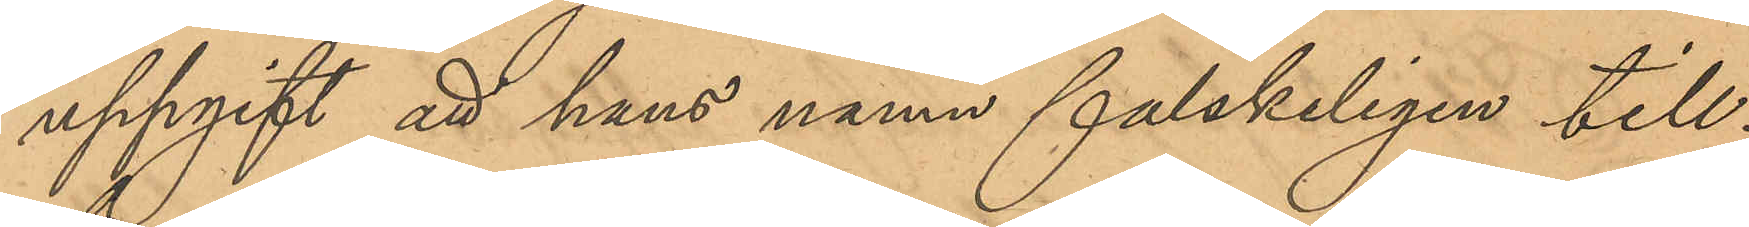uppgift att hans namn falskeligen till¬
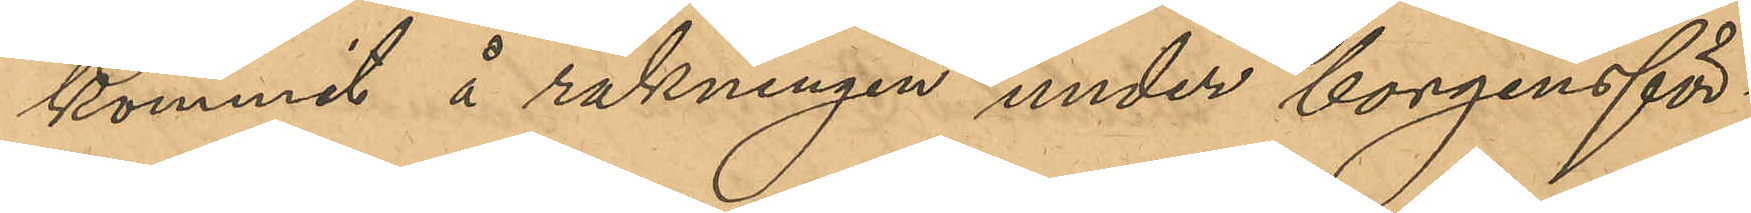kommit å räkningen under borgensför¬
